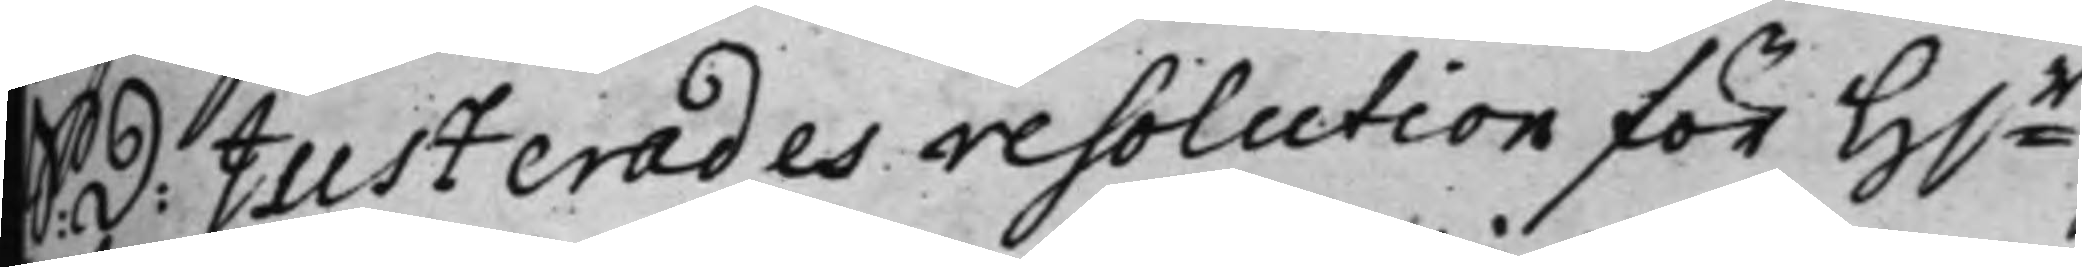S: d: Justerades resolution för H.r
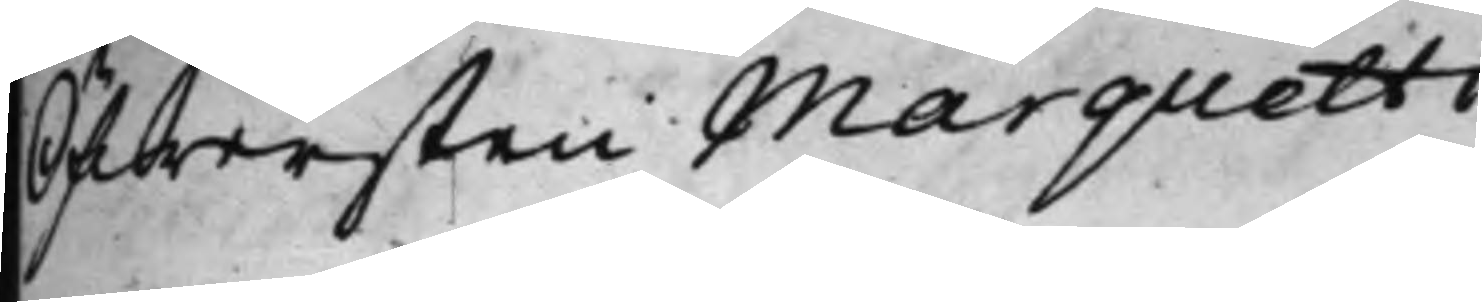Öfwersten Marquetti.
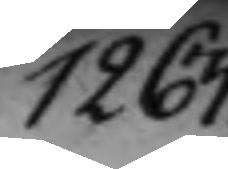1263.
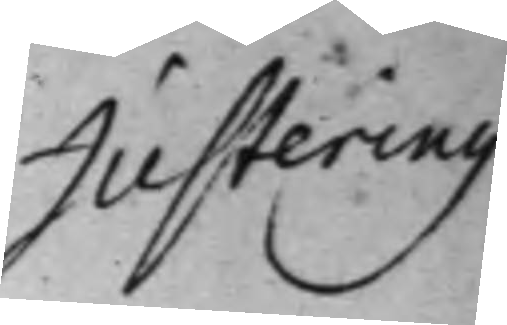Justering 
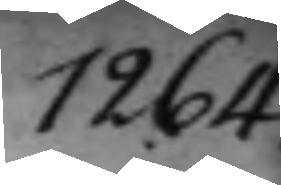1264.
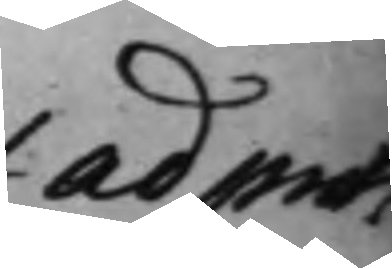ad prot.
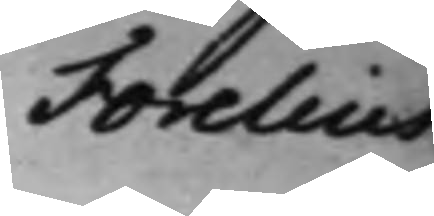Forelius.
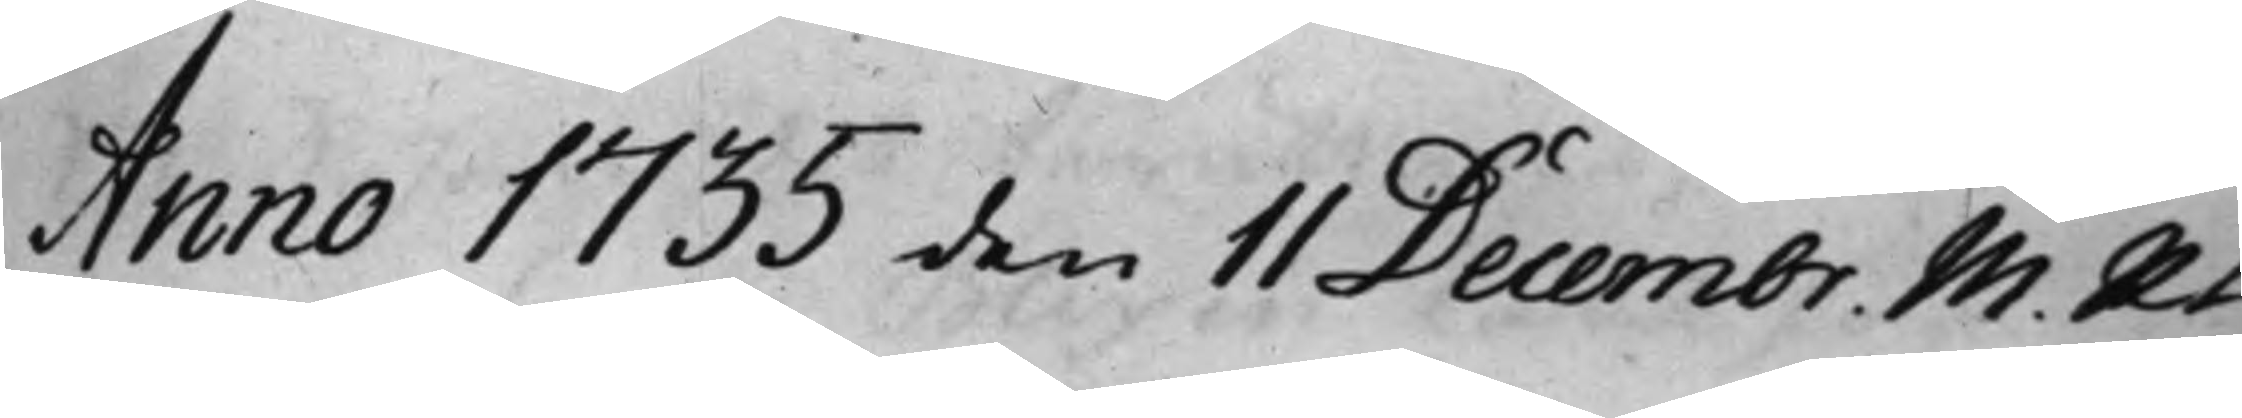Anno 1735 den 11 Decembr M. Rt
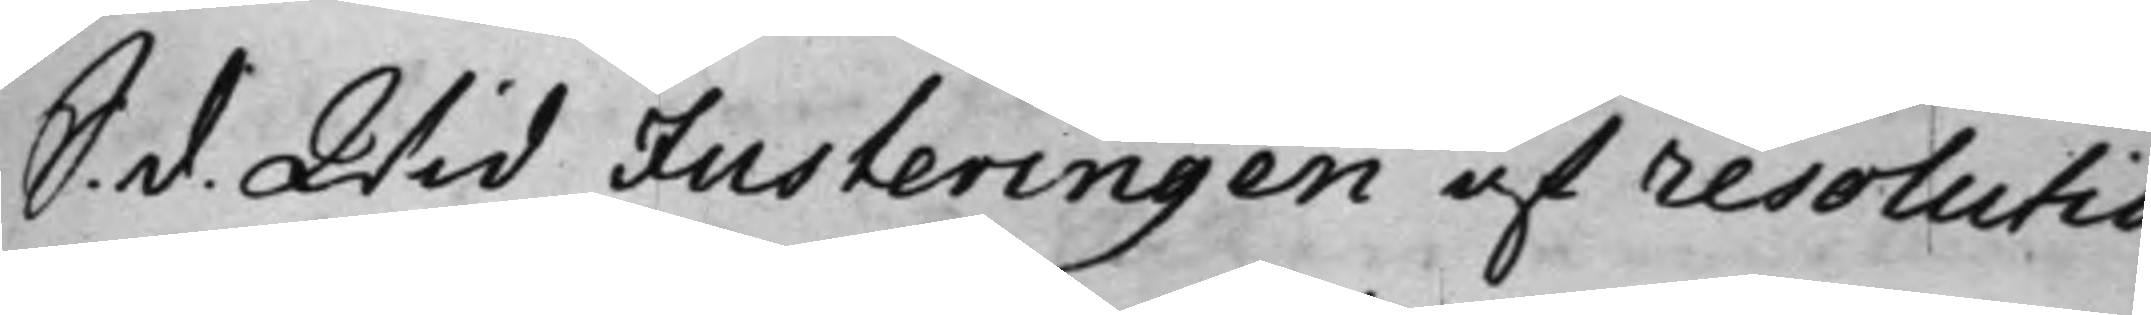S. d. Wid Justeringen af resolutio¬
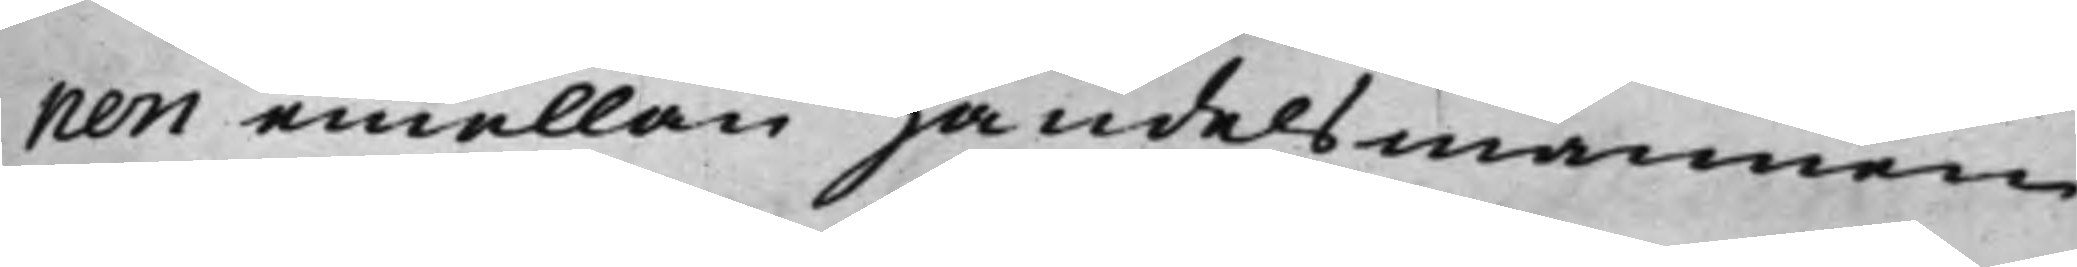nen emellan Handelsmannen
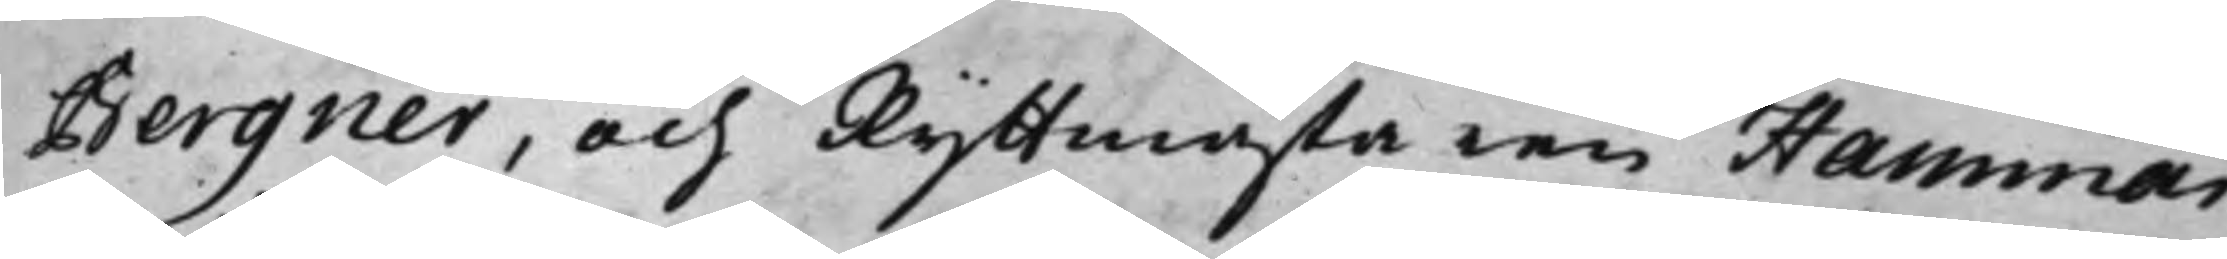Bergner, och Ryttmästaren Hammar¬
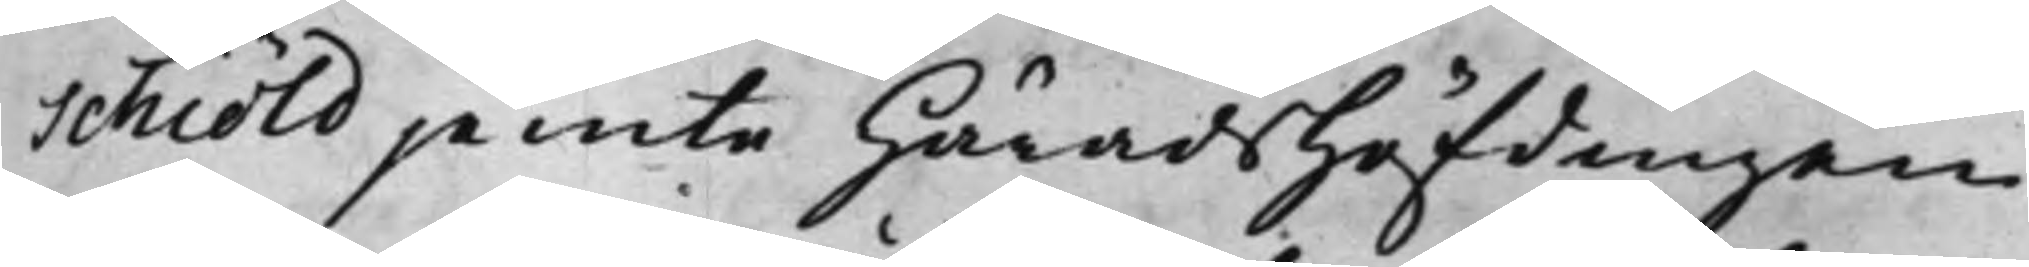schiöld jemte HäradsHöfdingen
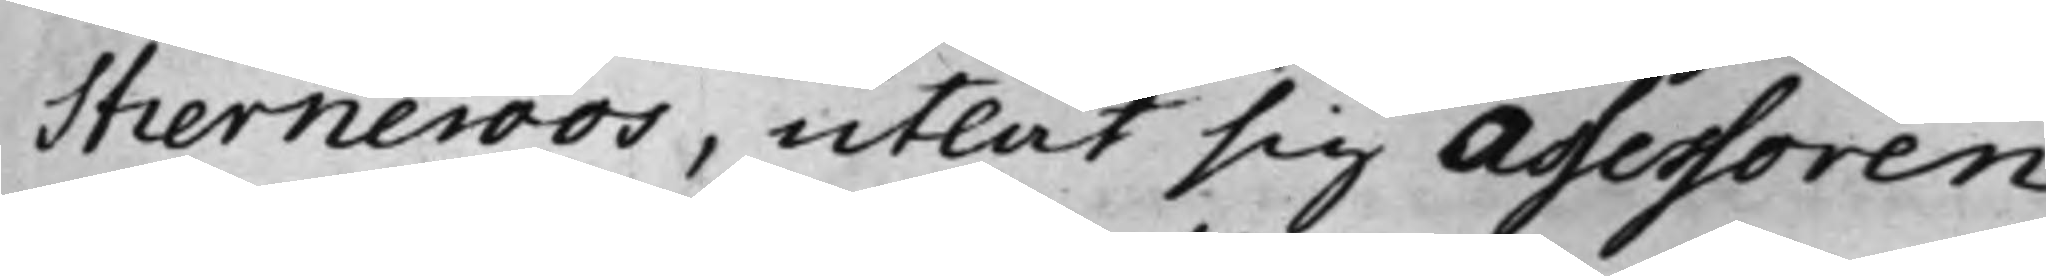Stierneroos, utlät sig Assessoren
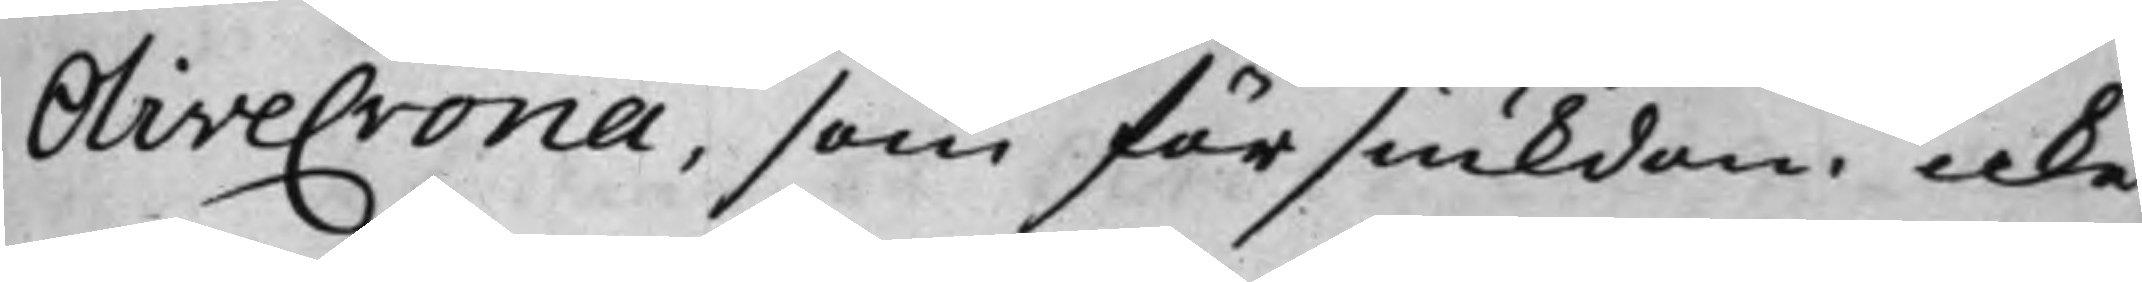Olivecrona, som för siukdom icke
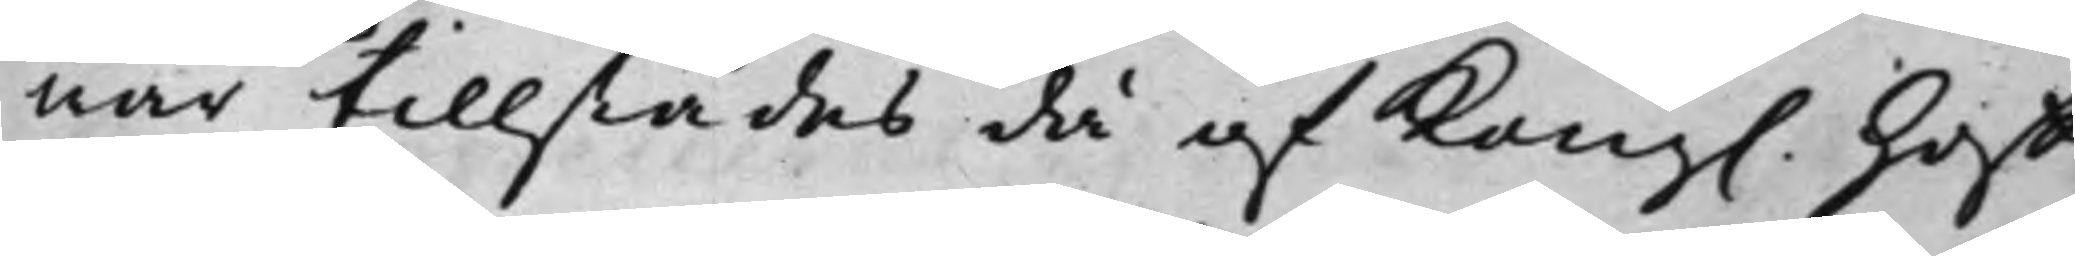nar tillstädes då af Kong. Hoff¬
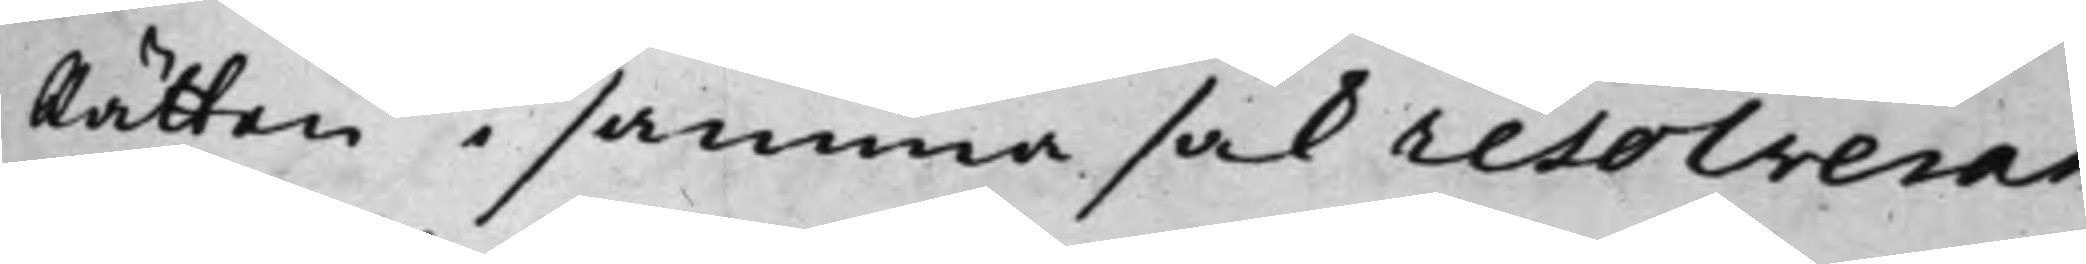Rätten i samma sak resolverat
